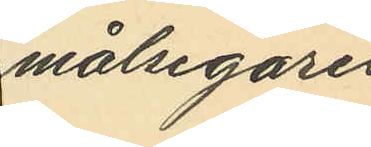målsegares
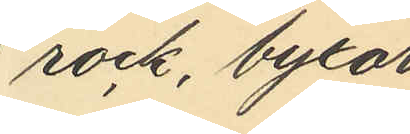rock, byxor
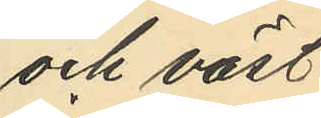och väst
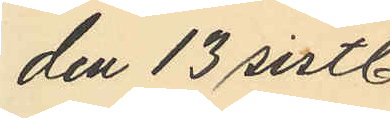den 13 sistl.
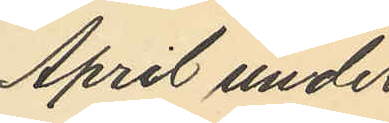April under
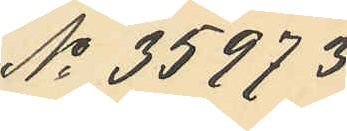No 35973
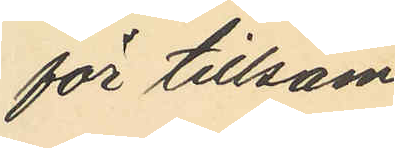för tillsam¬
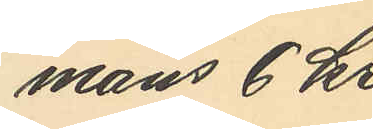mans 6 kr,
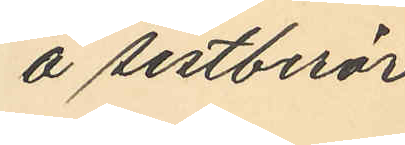å sistberör¬
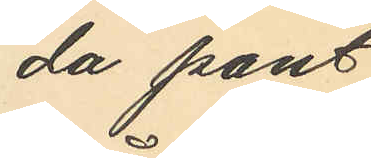da pant¬
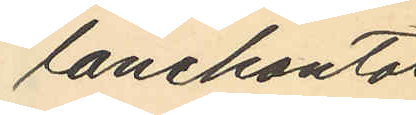lånekontor
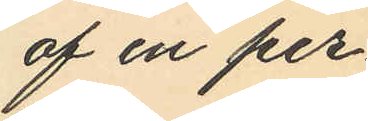af en per¬
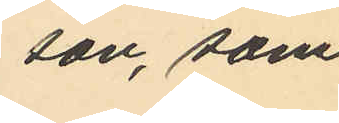son, som
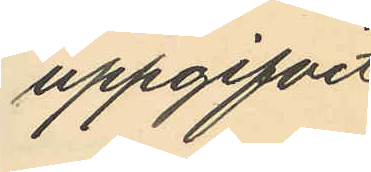uppgifvit
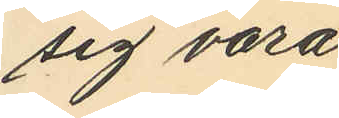sig vara
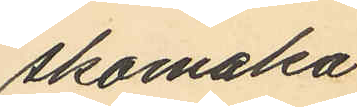skomaka¬
